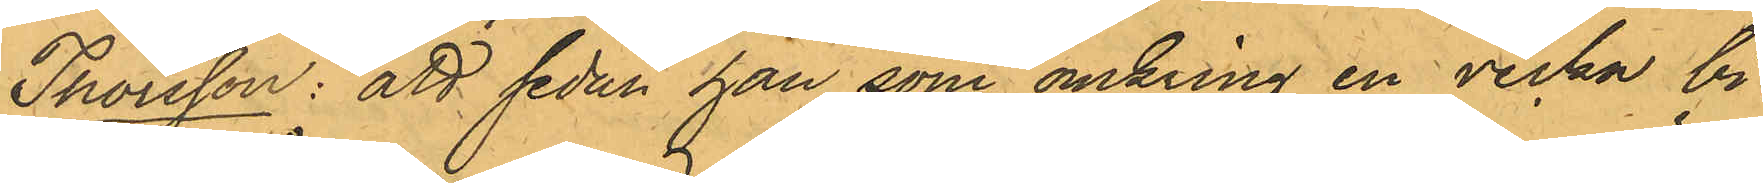Thorsson: att sedan han som omkring en vecka bi¬
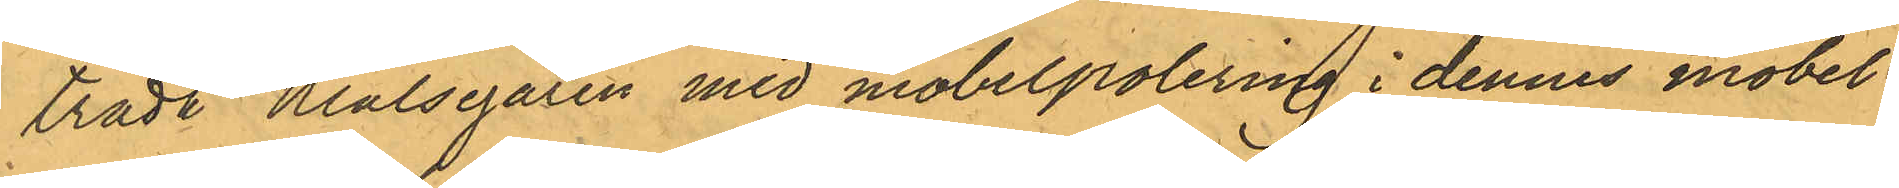trädt Målsegaren med möbelpolering i dennes möbel¬
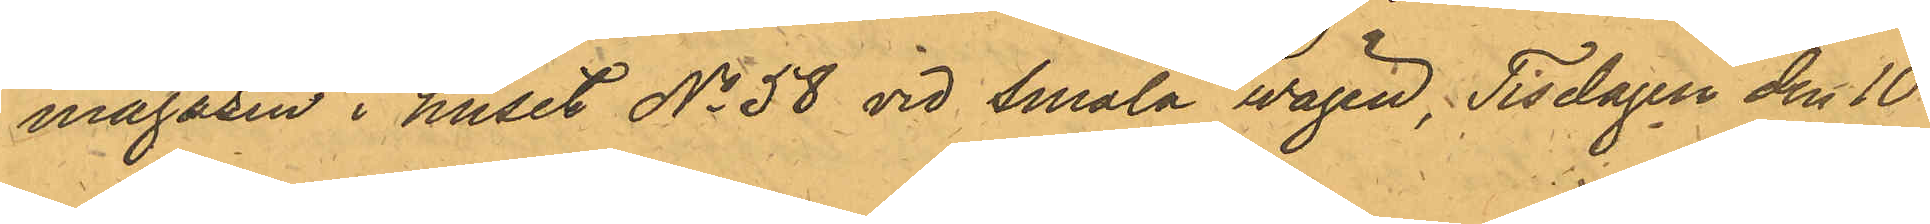magasin i huset No 58 vid Smala wägen; Tisdagen den 10
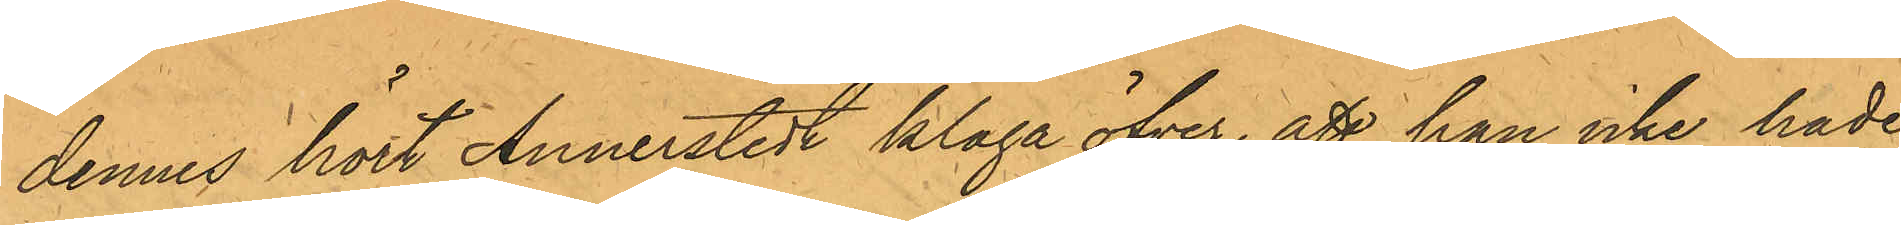dennes hört Annerstedt klaga öfver, att han icke hade
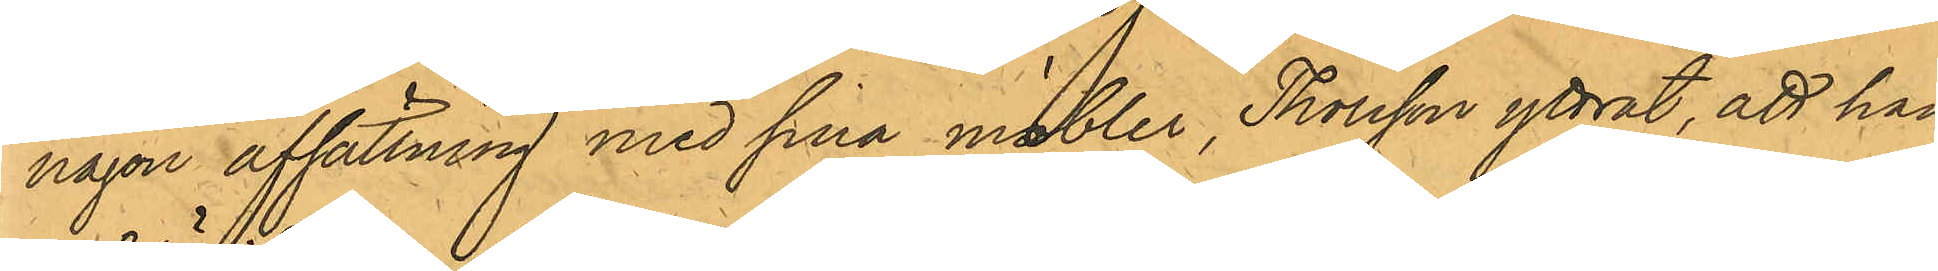någon afsättning med sina möbler, Thorsson yttrat; att han
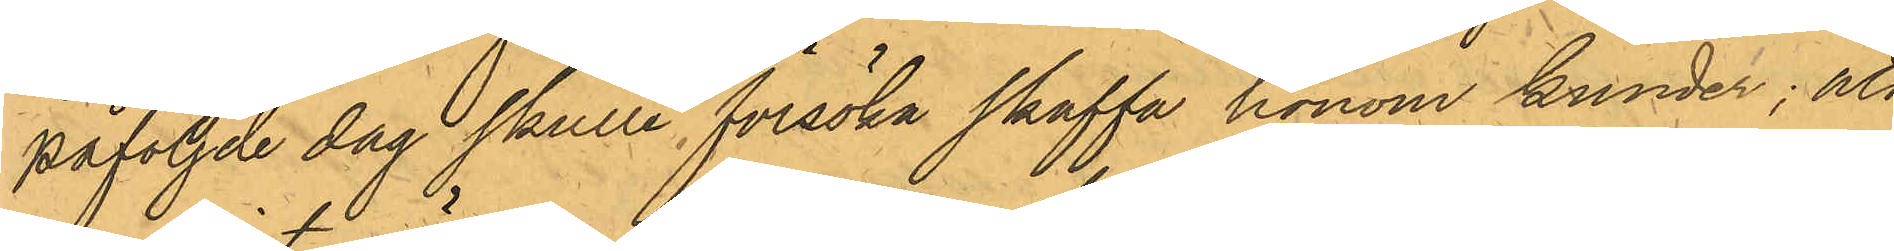påföljde dag skulle försöka skaffa honom kunder; att
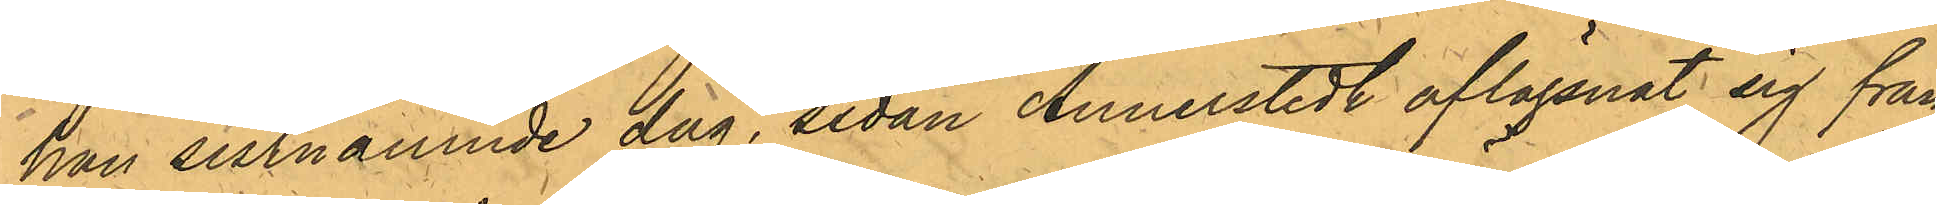han sistnämnde dag, sedan Annerstedt aflägsnat sig från
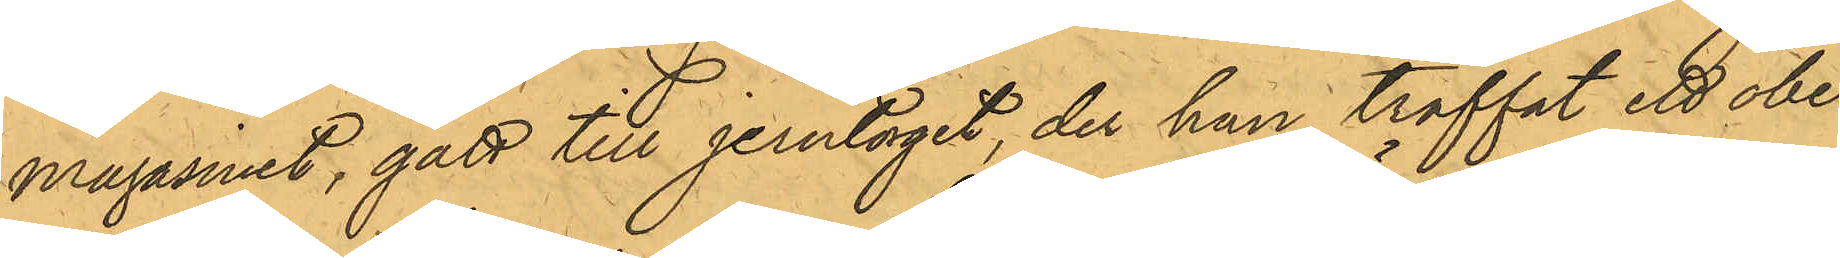magasinet, gått till jerntorget, der han träffat ett obe¬
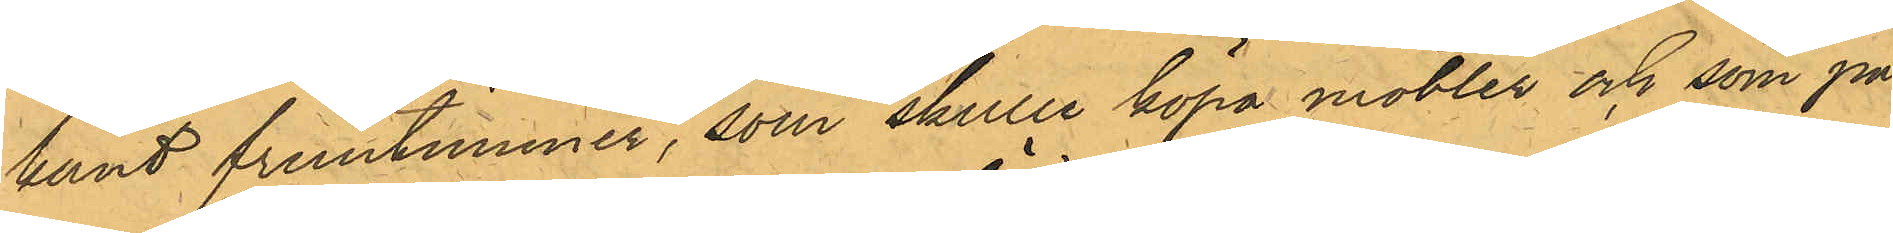kant fruntimmer, som skulle köpa möbler och som på
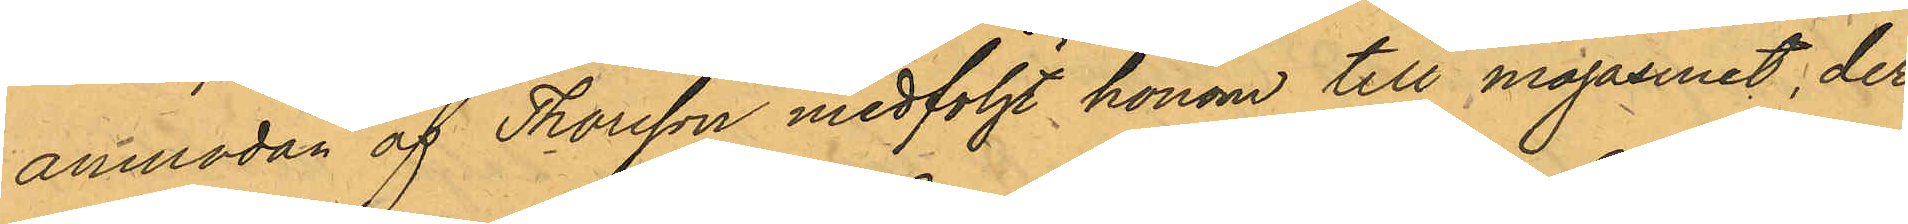anmodan af Thorsson medföljt honom till magasinet, der
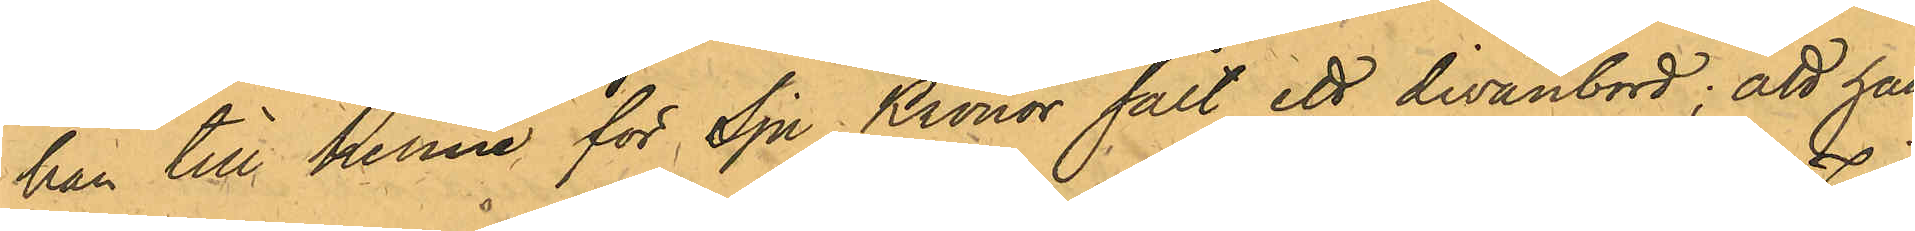han till henne för Sju Kronor sålt ett divanbord; att han
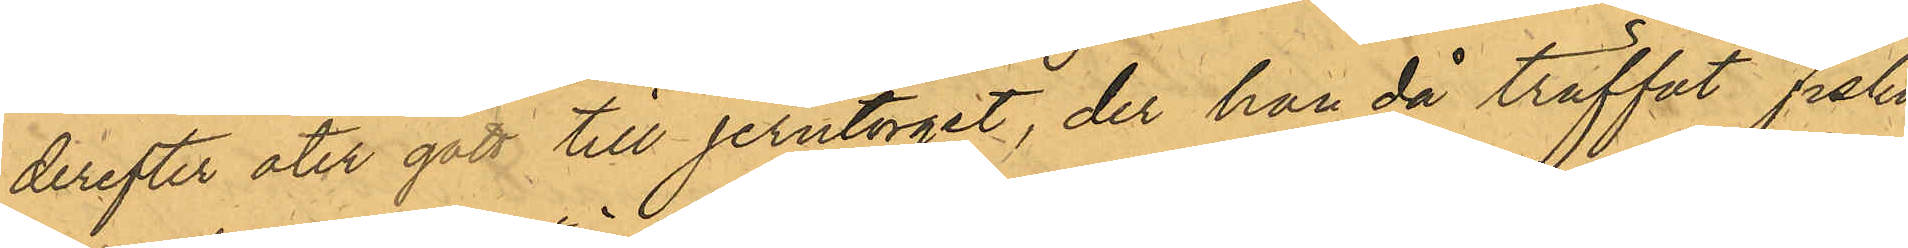derefter ater gått till Jerntorget, der han då träffat Fiska¬
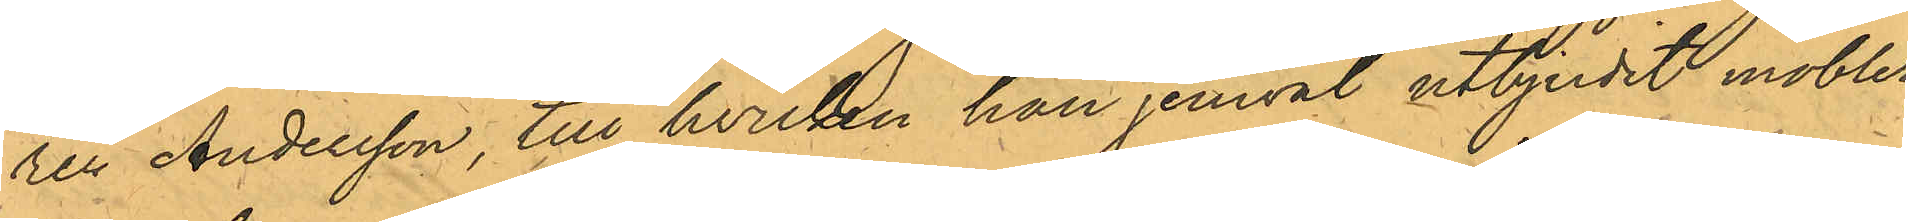ren Andersson, till hvilken han jemväl utbjudit möbler,
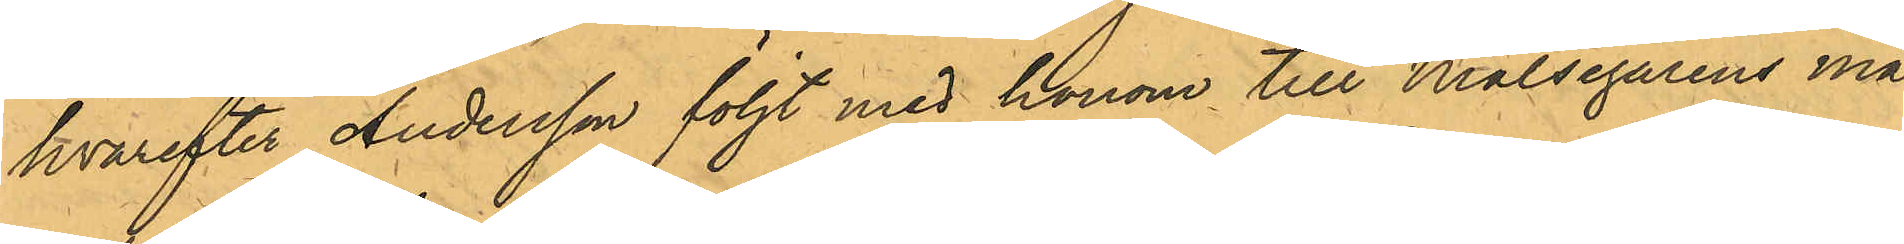hvarefter Andersson följt med honom till Målsegarens ma¬
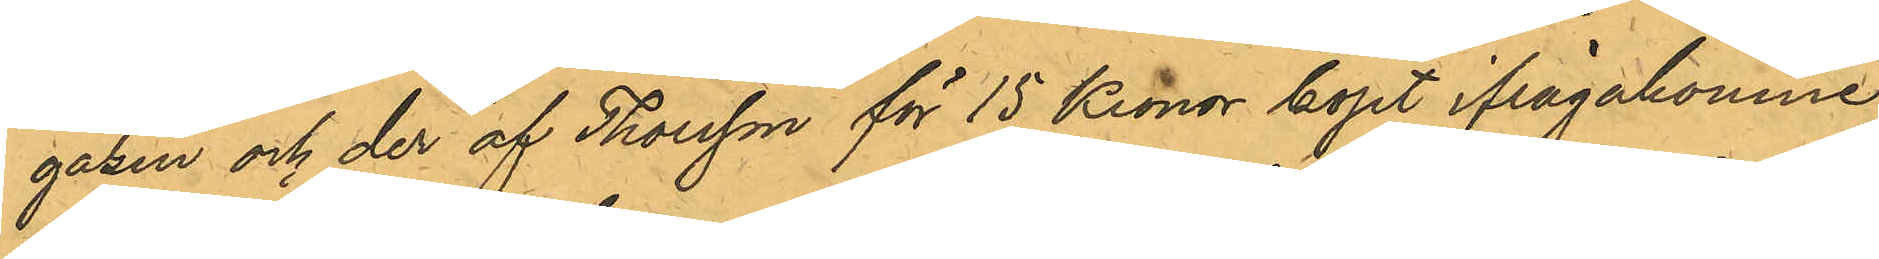gasin och der af Thorsson för 15 Kronor köpt ifrågakomne
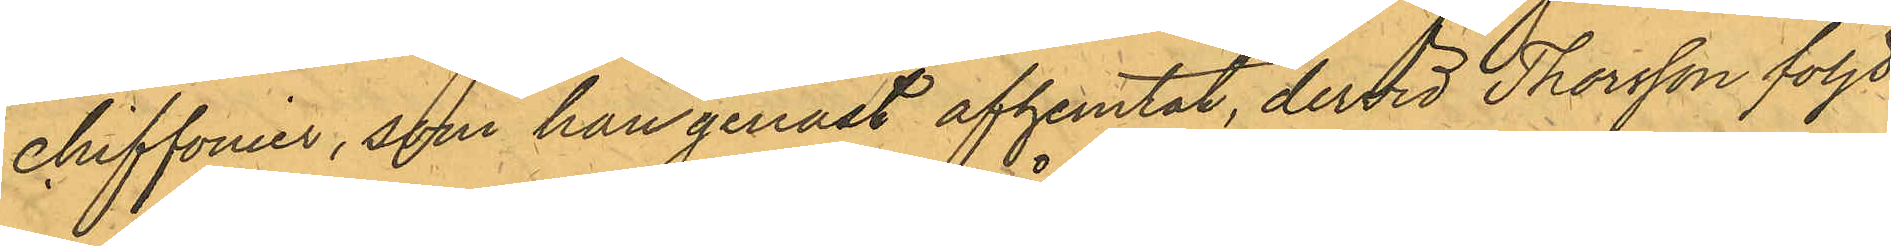chiffonier, som han genast afhemtat, dervid Thorsson följt
